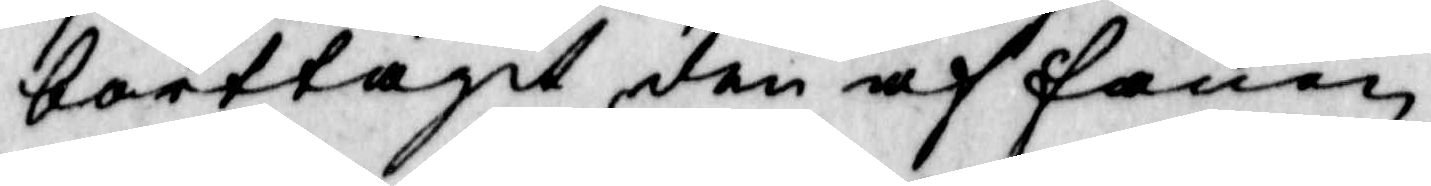borttagit den af fanen
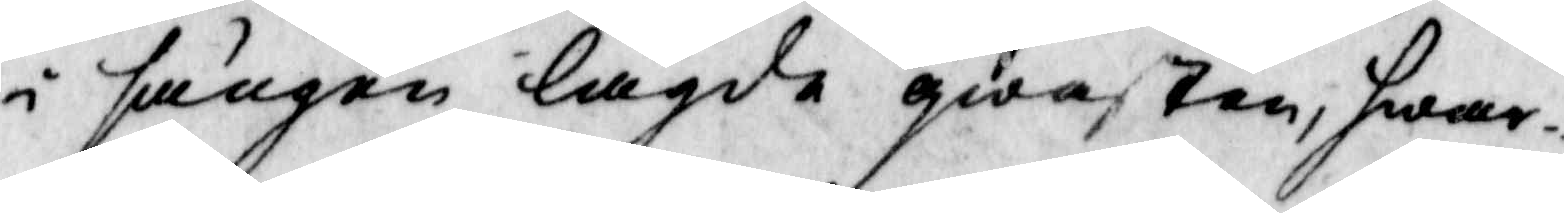i sängen lagde qwasten, hwar¬
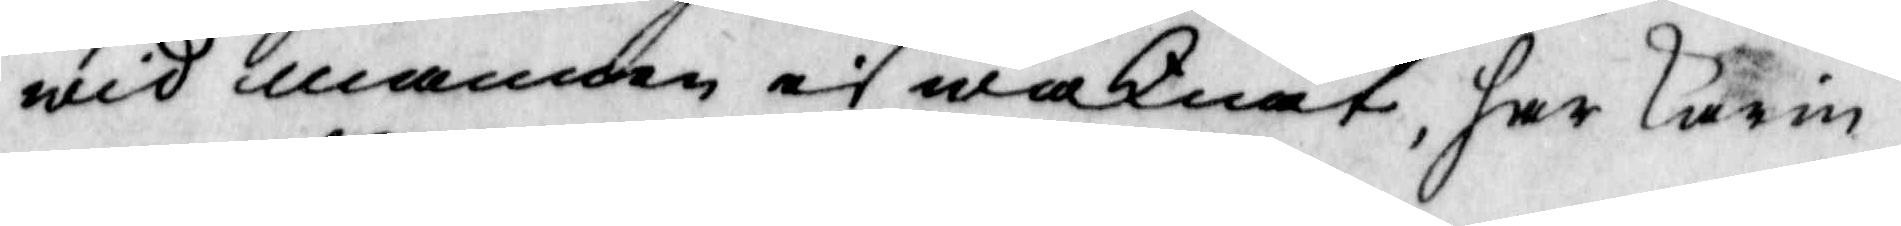wid mannen ei waknat, har Karin
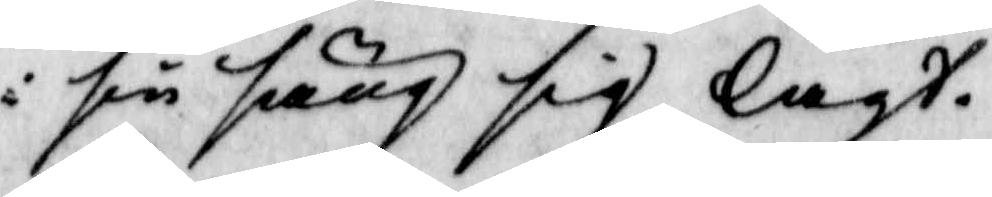i sin säng sig lagt.
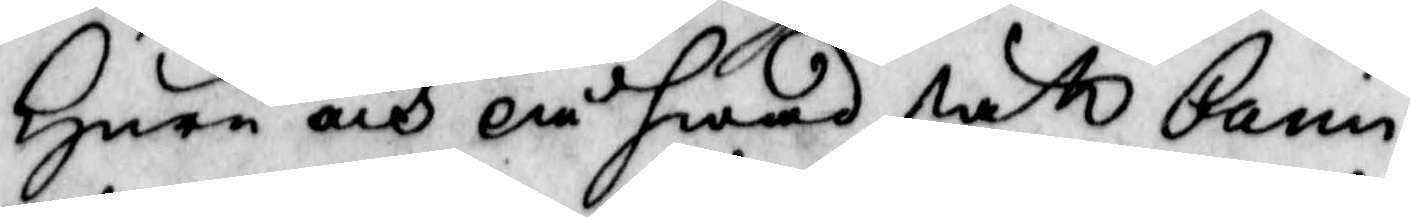Huru och på hwad sätt Carin
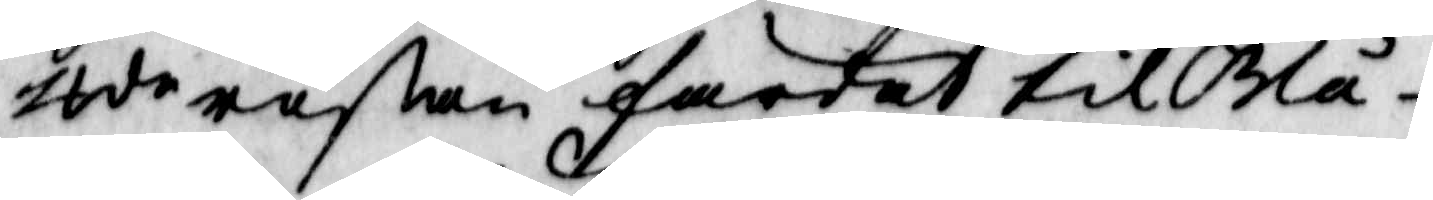ztde reßan färdat til Blå¬
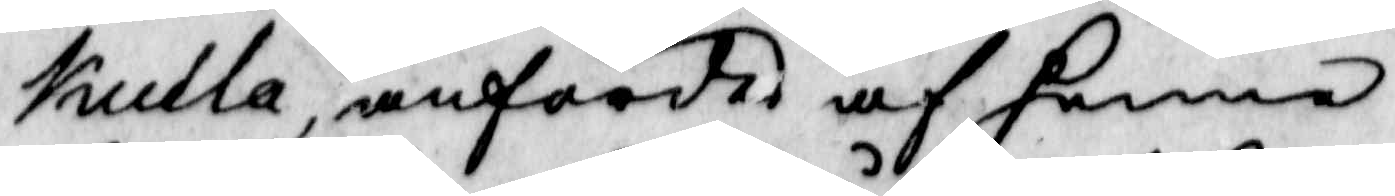kulla, anfördes af henne
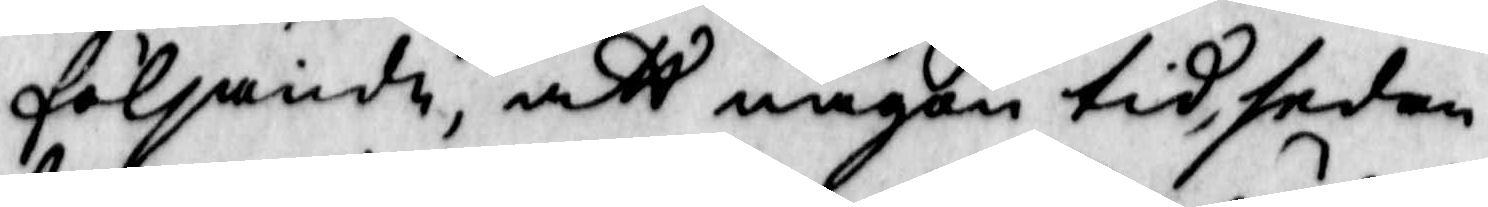följande, att någon tidh, sedan
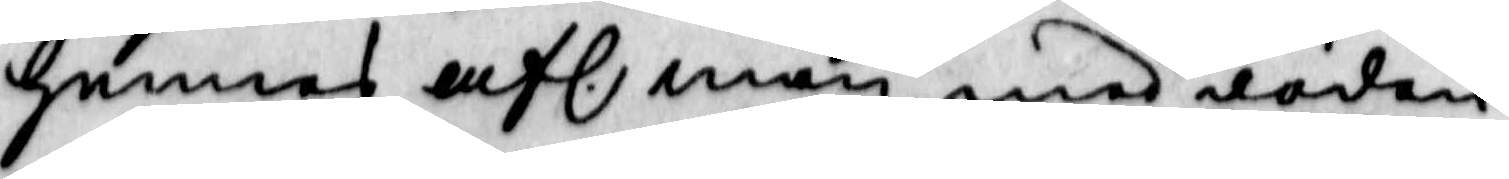hennes afl. man med döden
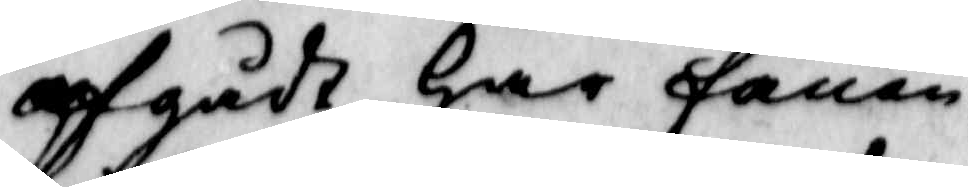afgådt har fanen 
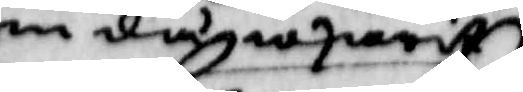som då warit
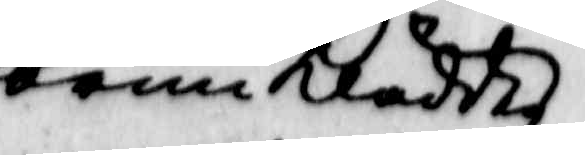brunklädder,
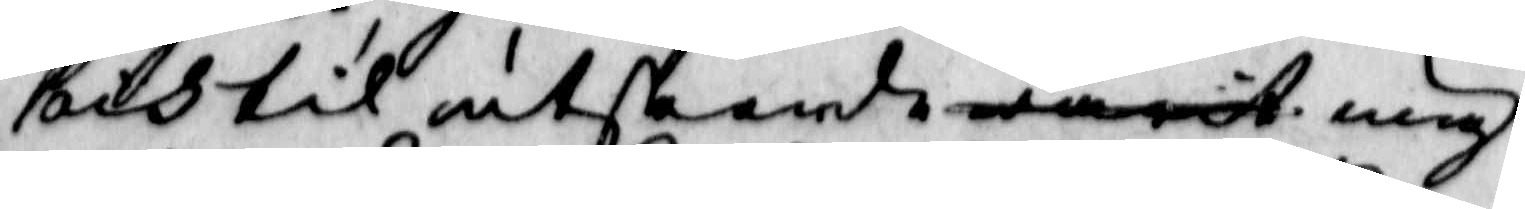och til utseende warit ung
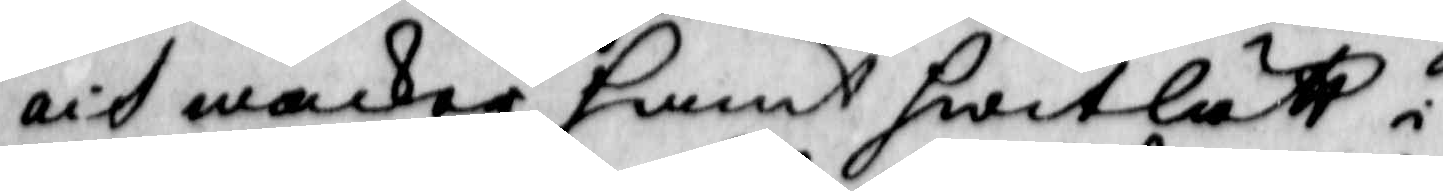att wacker hwent hwitlätt i
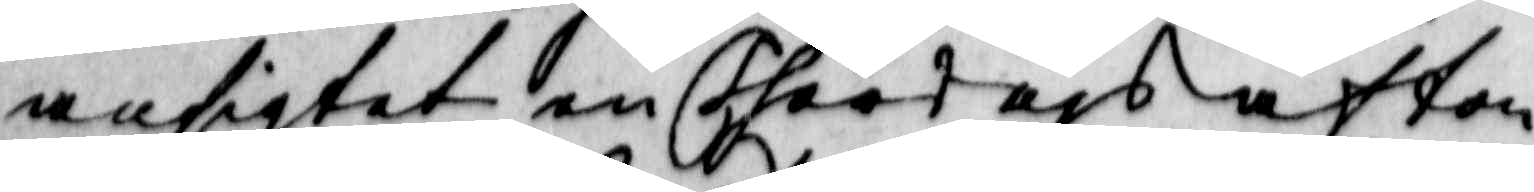ansigtet en Thortags afton
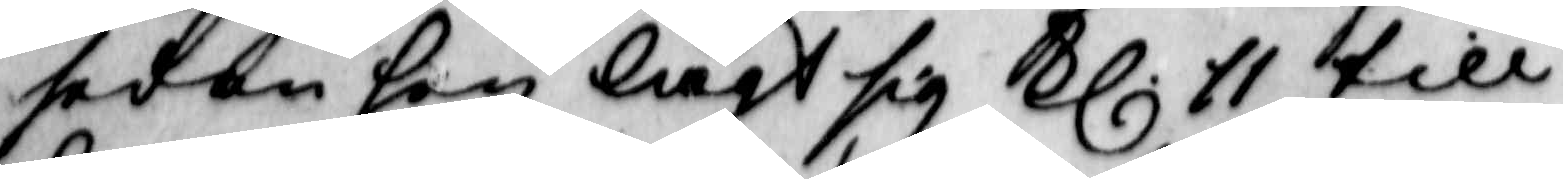sedan hon lagt sig Kl 11 till 
